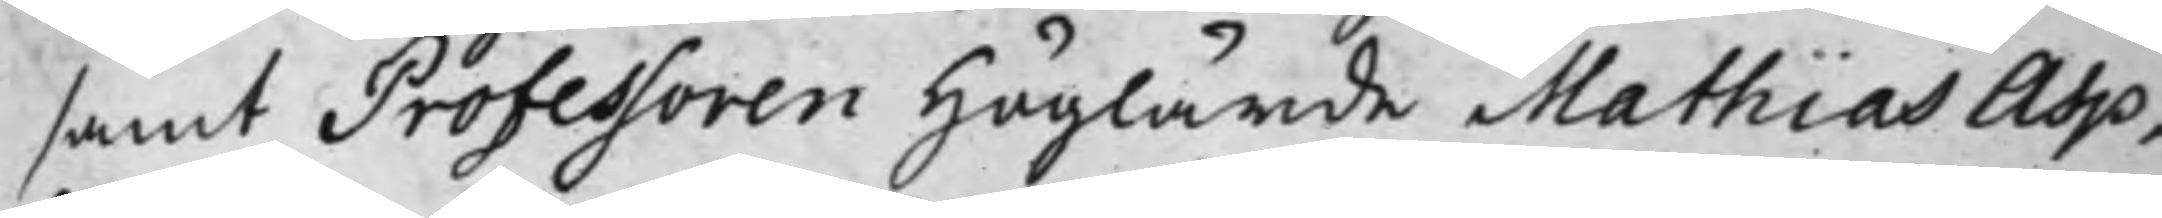samt Professoren Höglärde Mathias Asp,
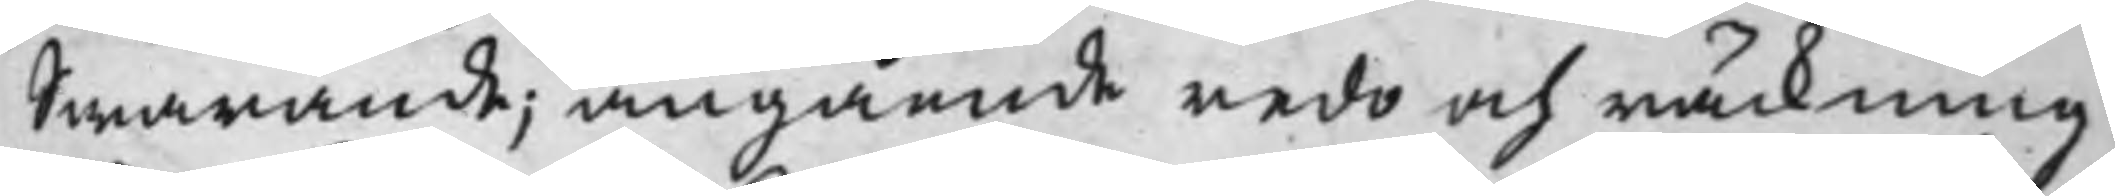Swarande, angående redo och räckning
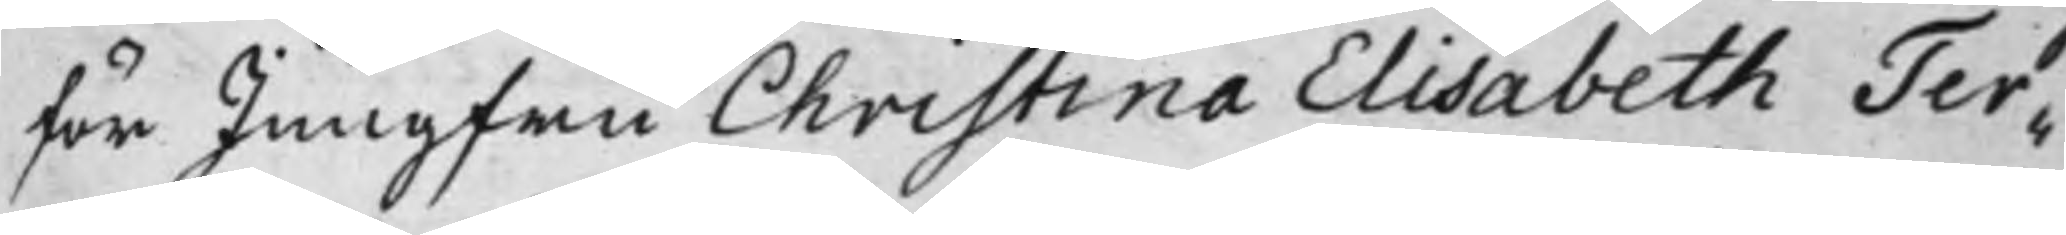för Jungfru Christina Elisabeth Ter¬
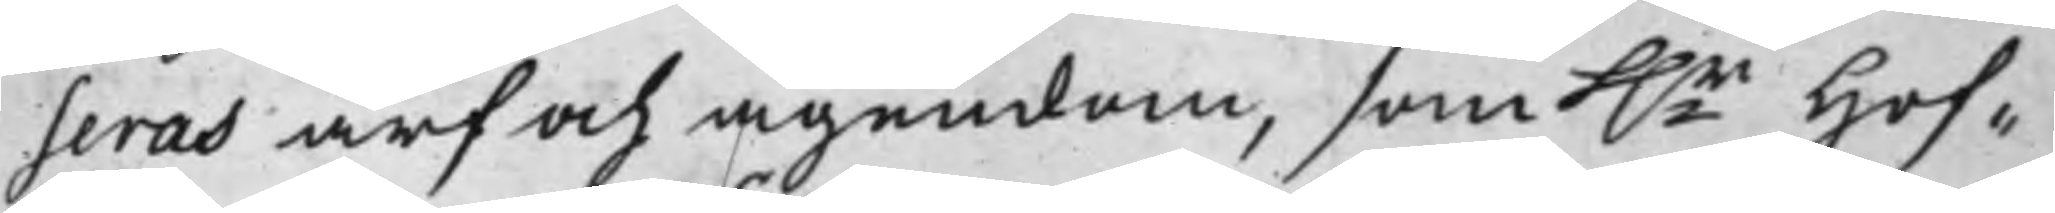seras arf och ägendom, som h.r Hof¬
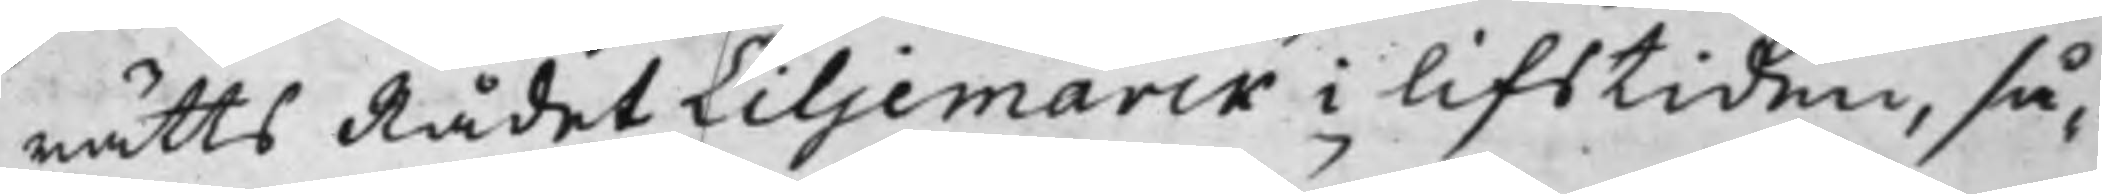rätts Rådet Liljemarck i lifstiden, så¬
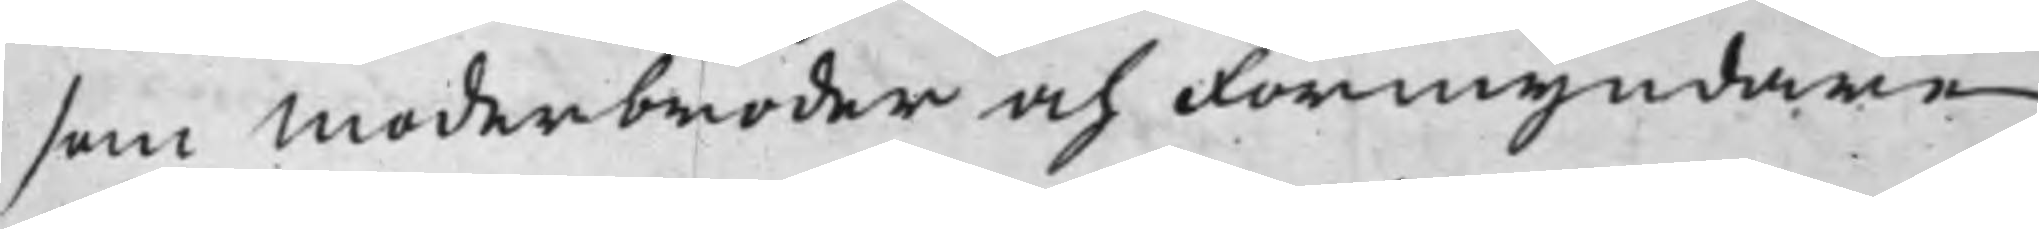som Moderbroder och Förmyndare
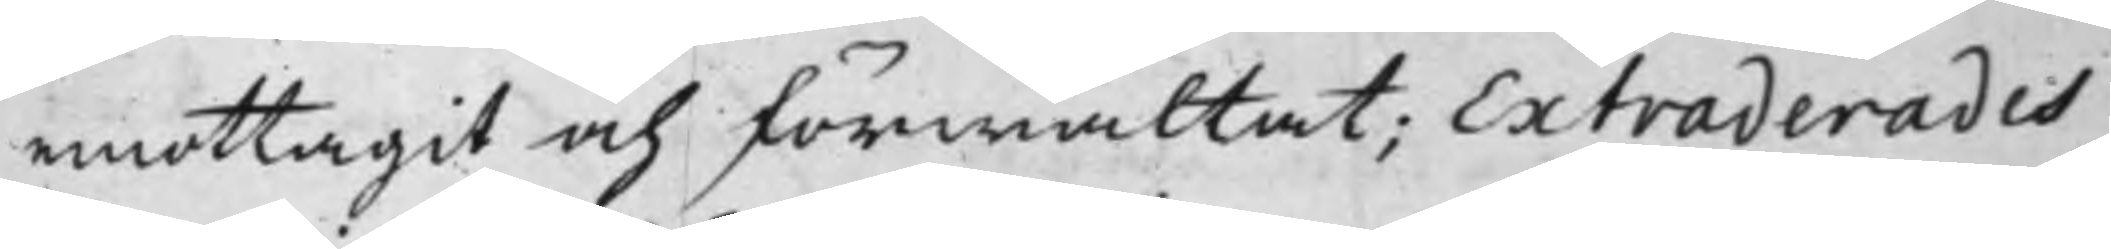emottagit och förwaltat; Extraderades
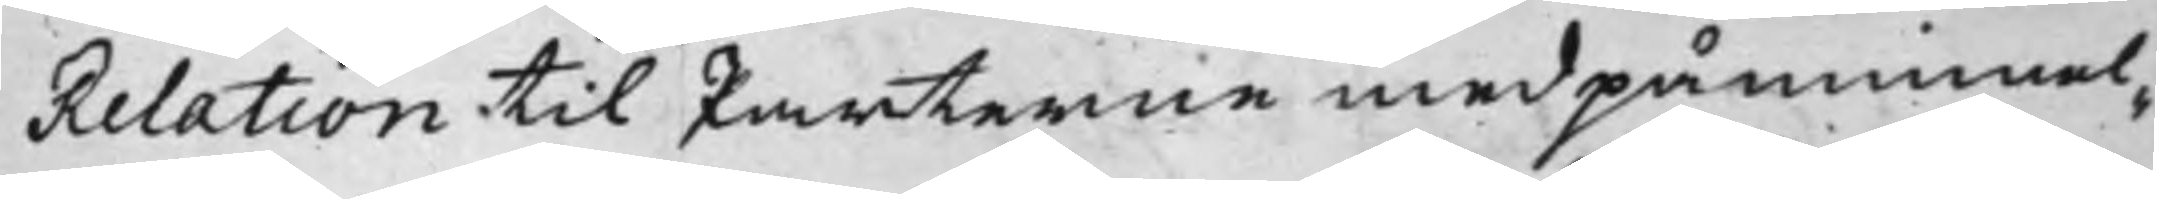Relation till Parterne med påminnel¬
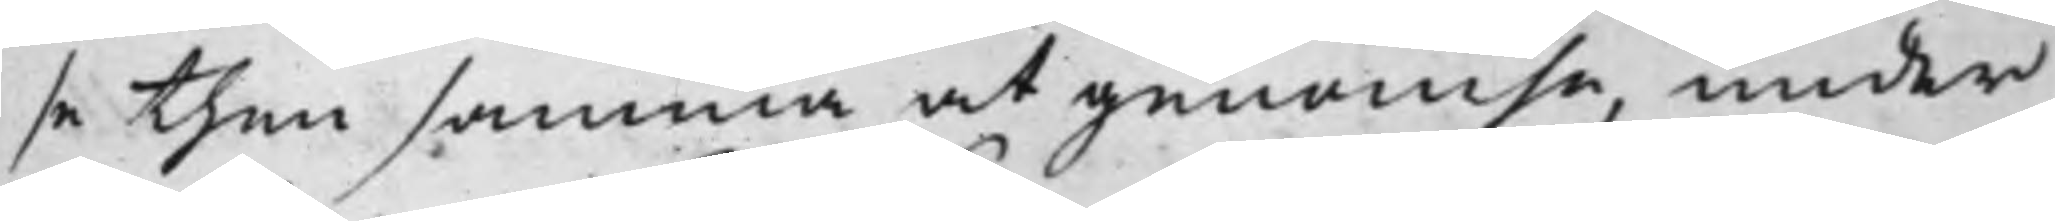se then samma at genomse, under¬
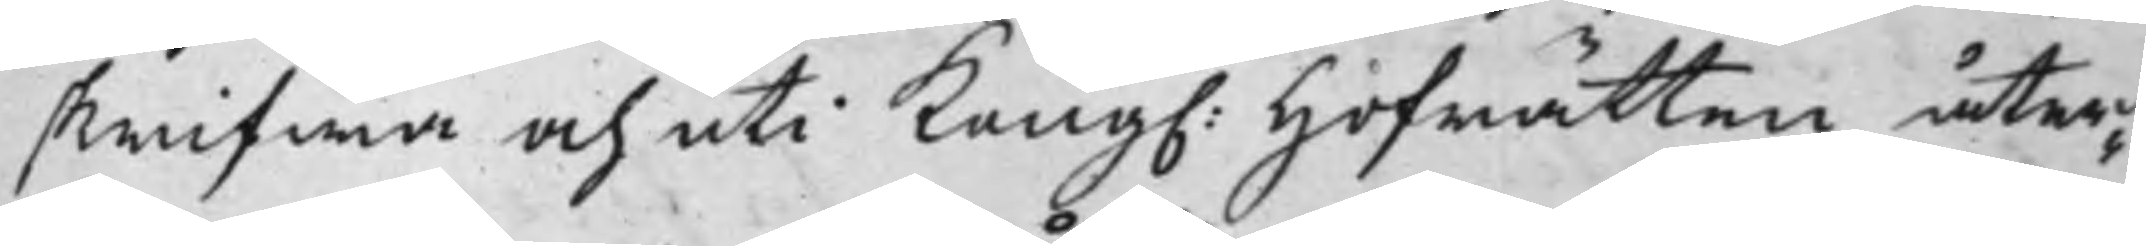skrifwa och uti Kong. Hofrätten åter¬
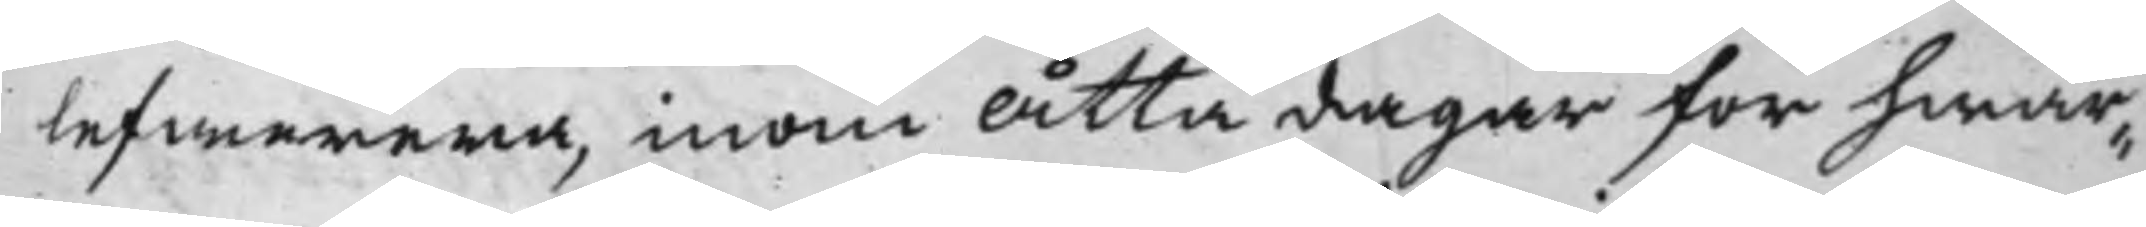lefwerera, inom Åtta dagar för hwar¬
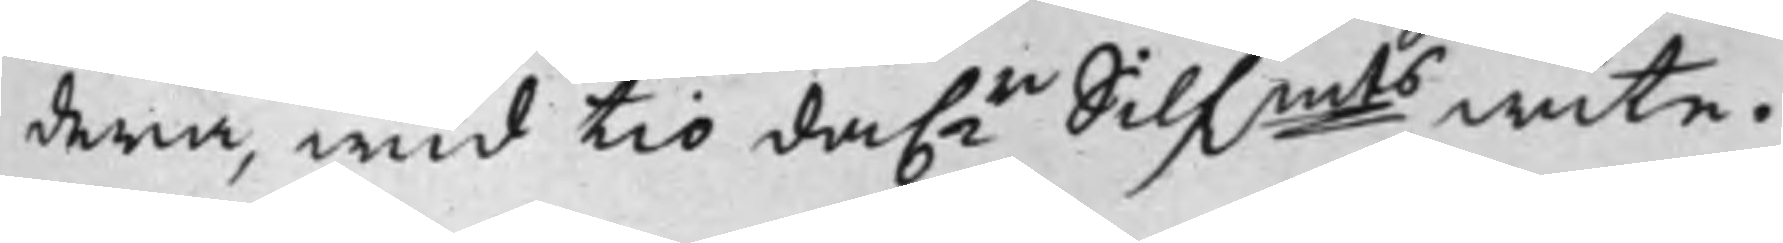dera, wid tio da.r Silfmts wite.
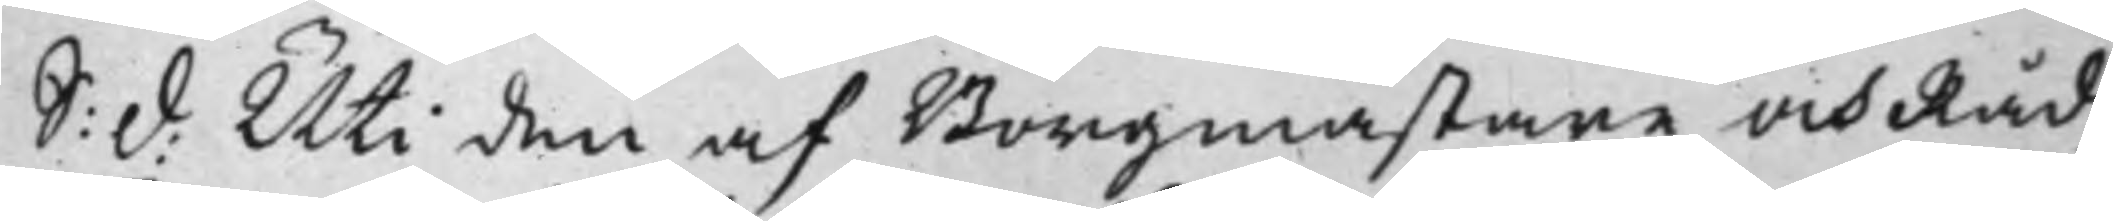S: d: Uti den af Borgmästare och Råd¬ 
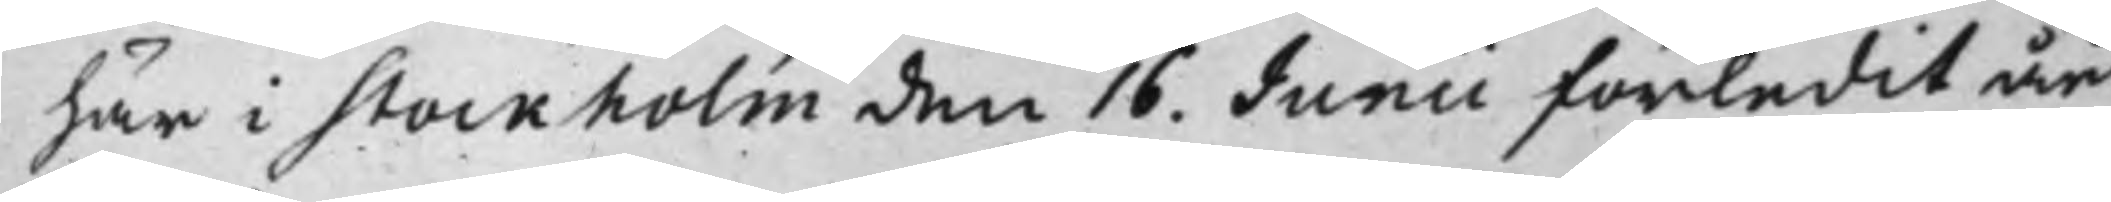här i Stockholm den 16. Junii förledit år
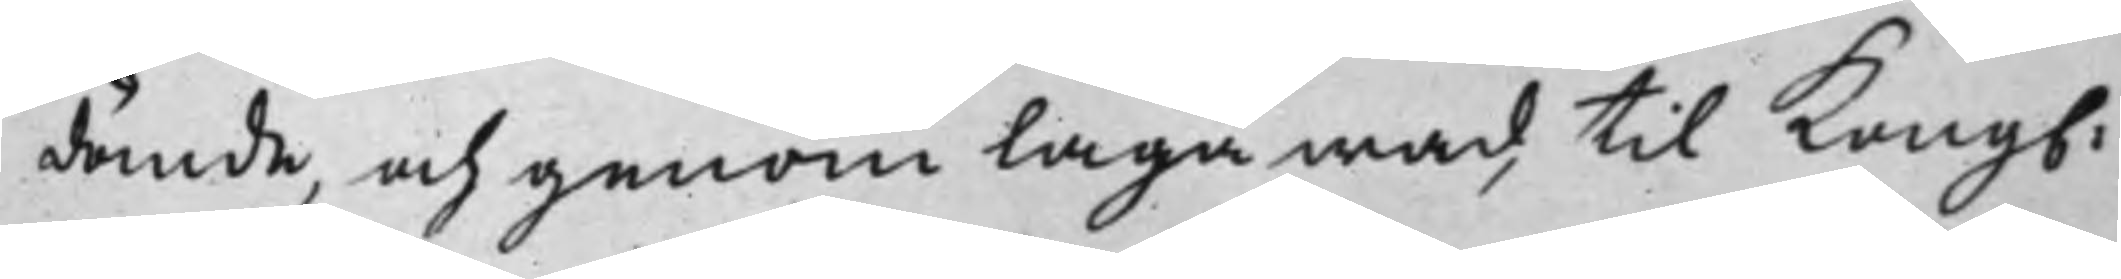dömde, och genom Laga wad, til Kong.
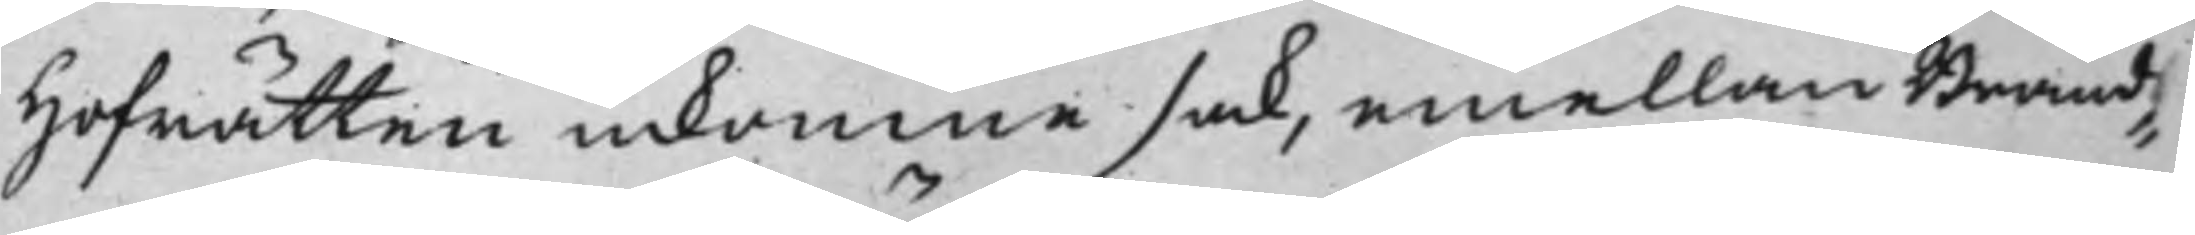Hofrätten inkomne sak, emellan Brand¬
